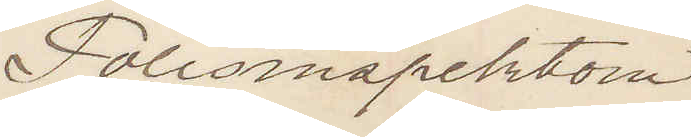Polisinspektorn
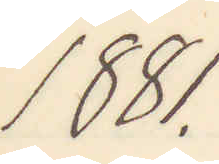1881.
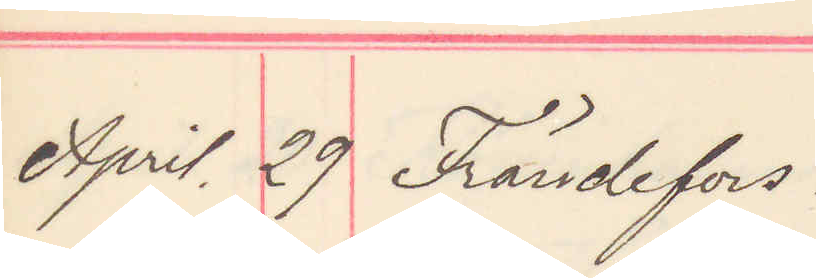April. 29 Frändefors.
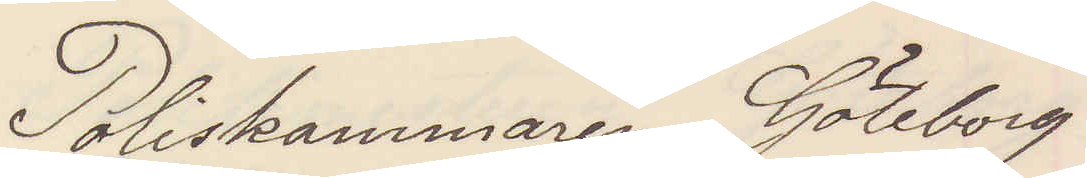Poliskammaren Göteborg
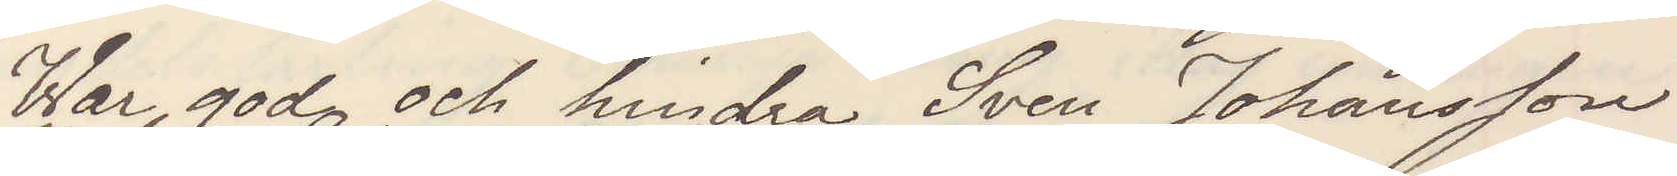War god och hindra Sven Johansson
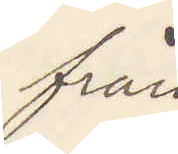från
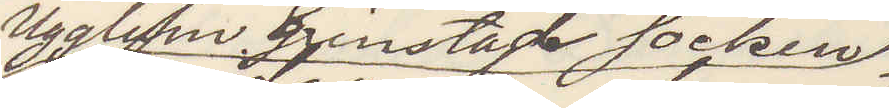Ugglum Grinstad socken
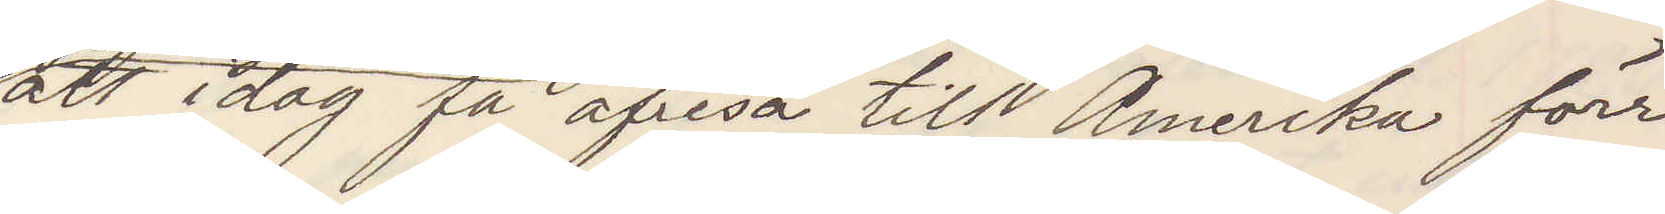att idag få afresa till Amerika förr¬
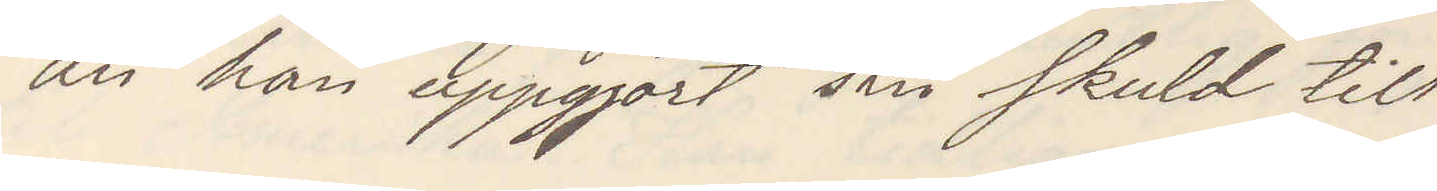än han uppgjort sin skuld till
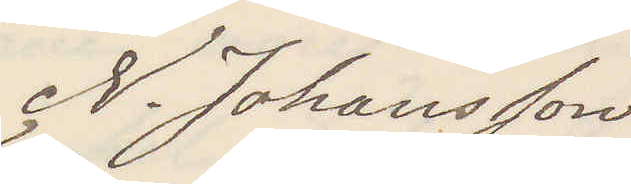N. Johansson
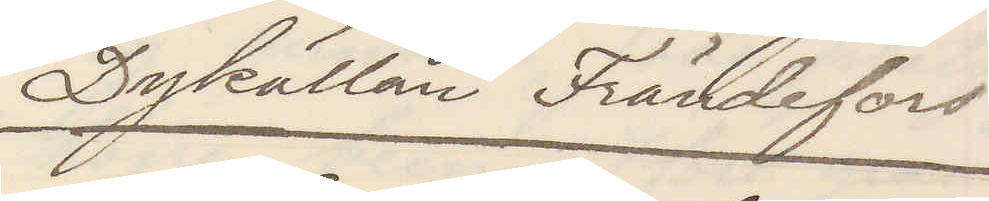Dykällan Frändefors.
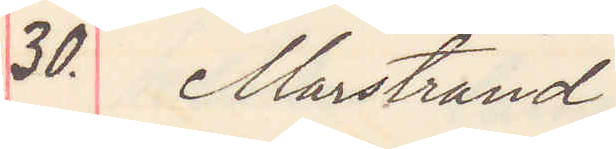30. Marstrand
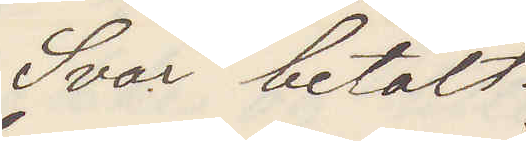Svar betalt
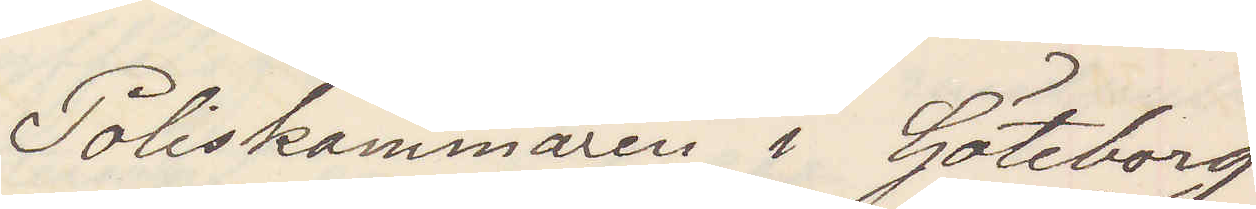Poliskammaren i Göteborg
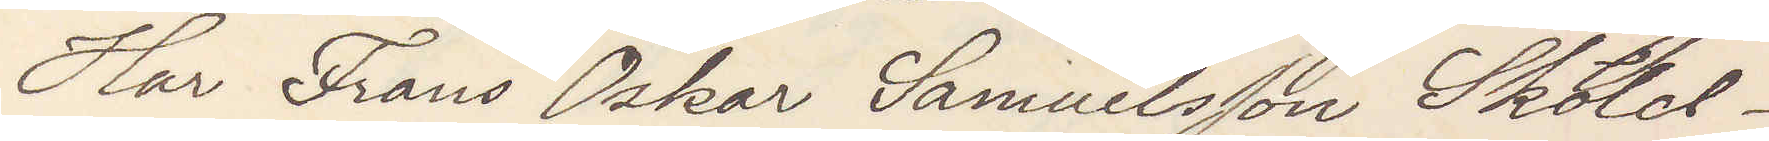Har Frans Oskar Samuelsson Sköld
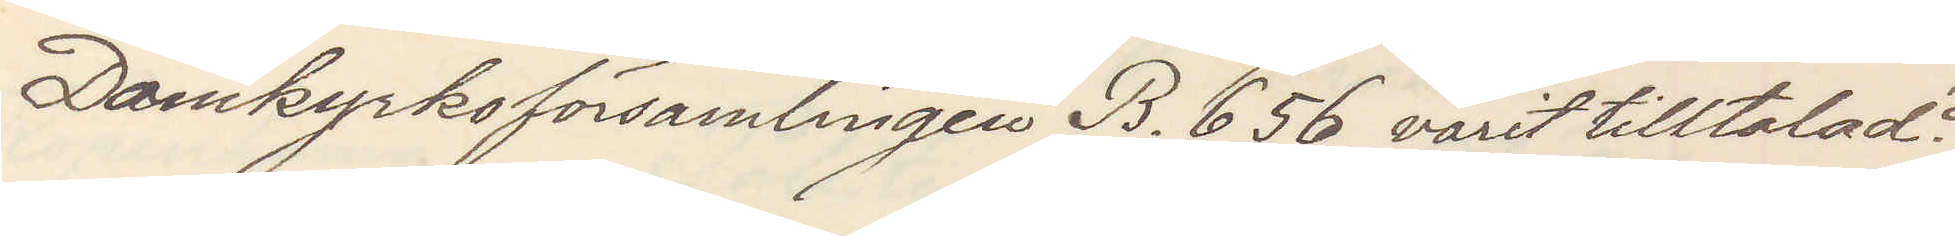Domkyrkoförsamlingen B. 656 varit tilltalad?
